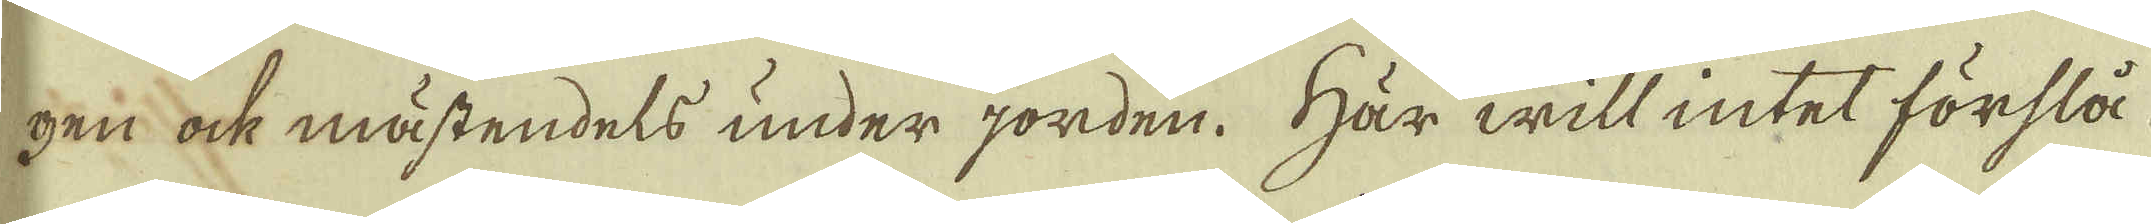gen ock mästendels under jorden. Här will intet förslå
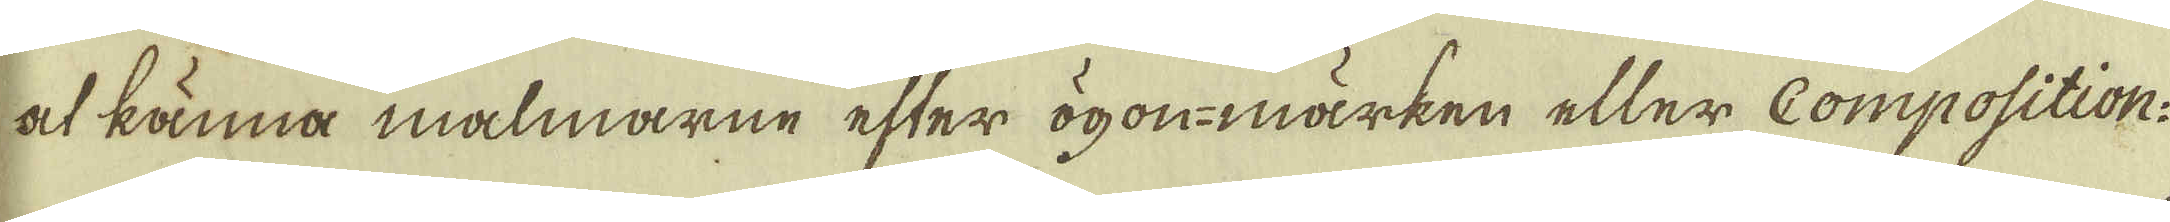at lämna malmarne efter ögon-märken eller Composition:
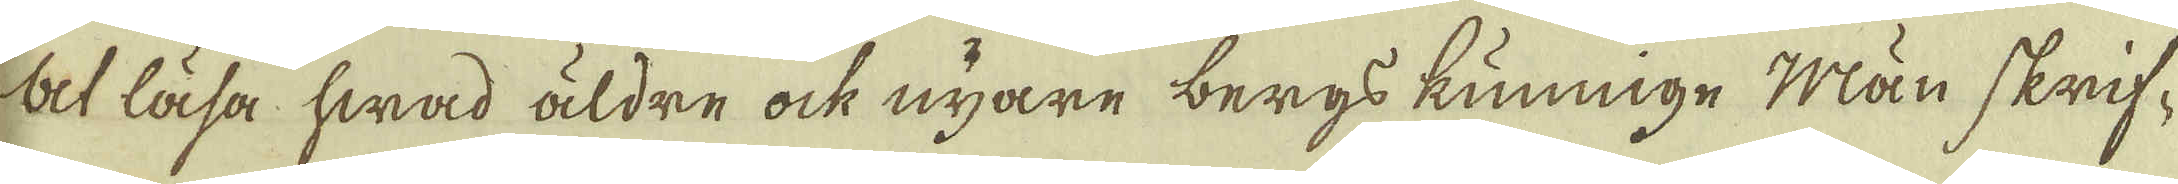at läsa hwad äldre ock nyare bergs kunnnge Män skrif-
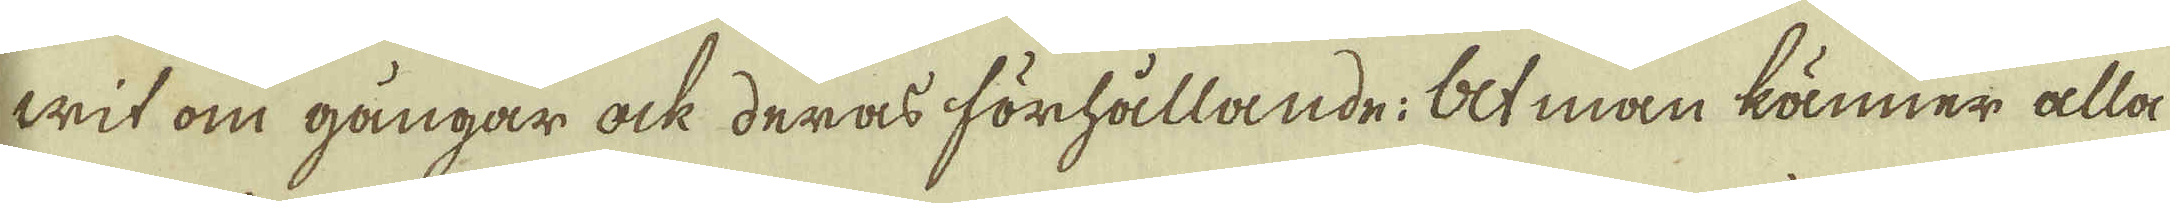wit om gångar ock deras förhållande: at man känner alla
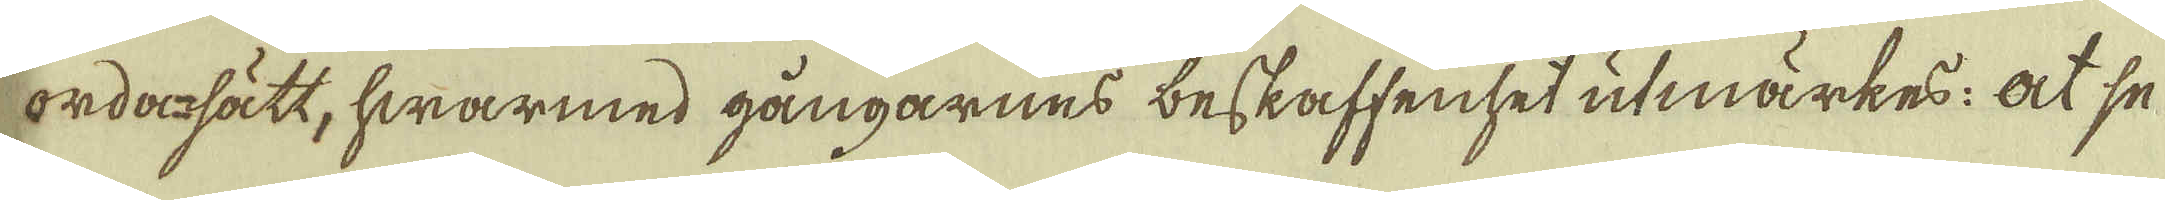orda-sätt, hwarmed gångarnes beskaffenset utmärkes: at se
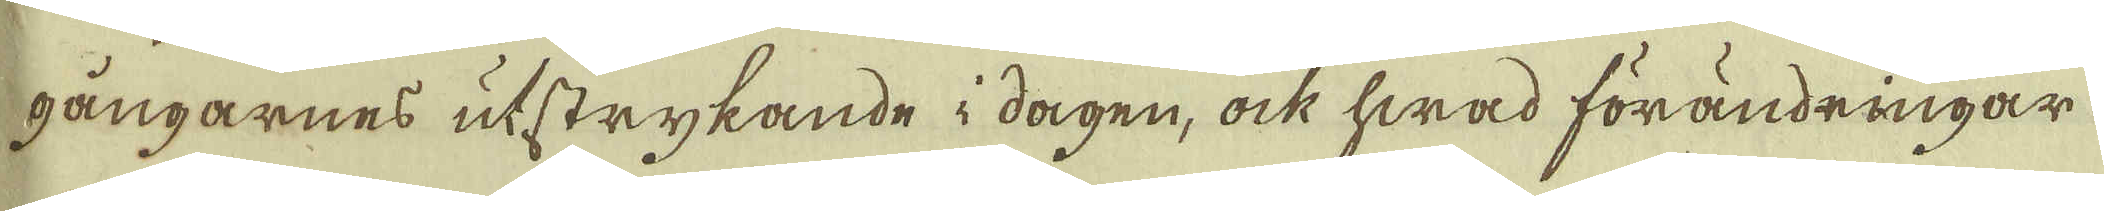gångarnes utstrykande i dagen, ock hwad förändringar
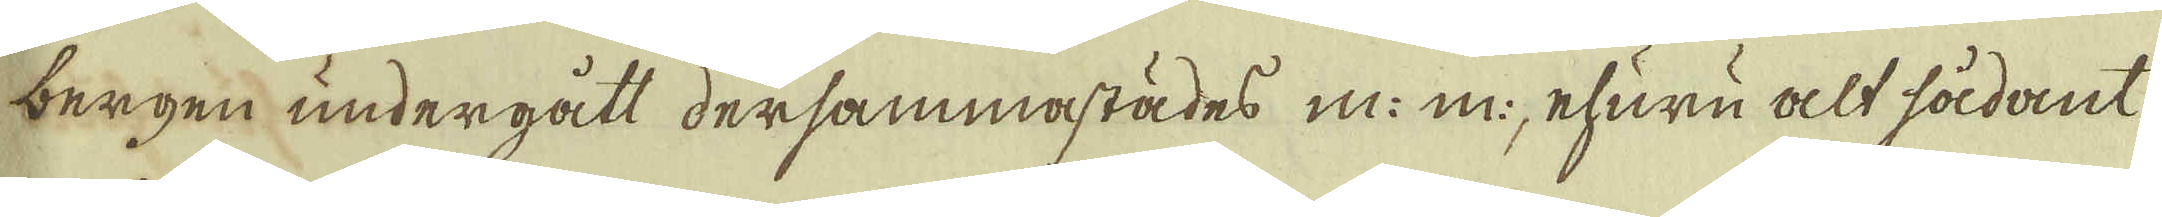bergen undergått dersammastädes m.m., ehuru alt sådant
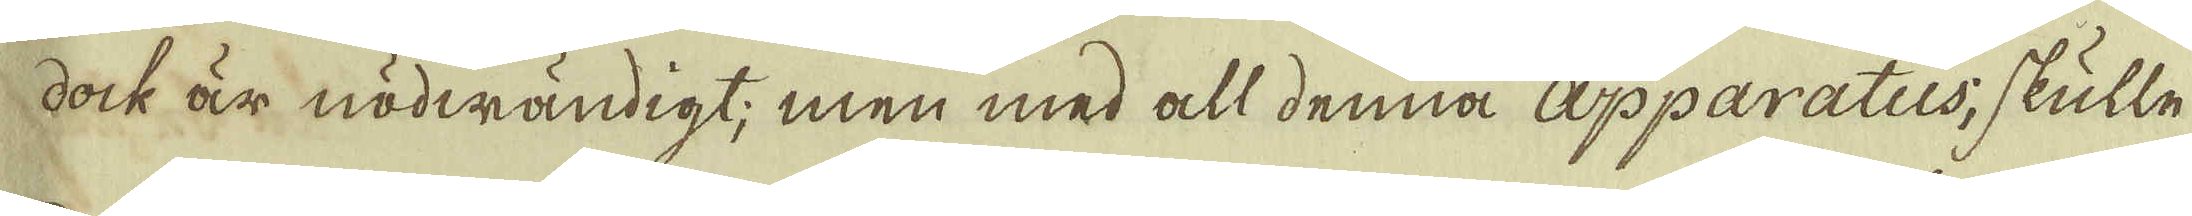dock är nödwändigt; men med all denna apparatus; skulle
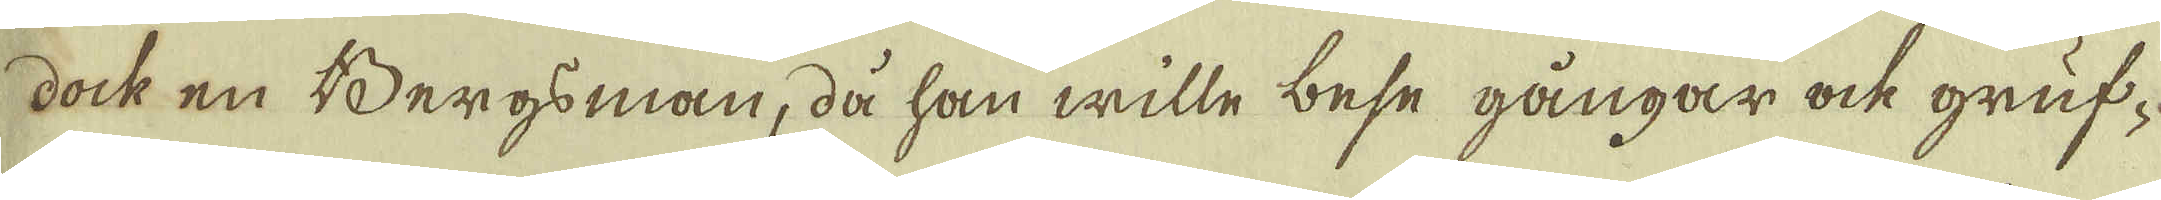dock en Bergsman, då han wille bese gångar ock gruf-
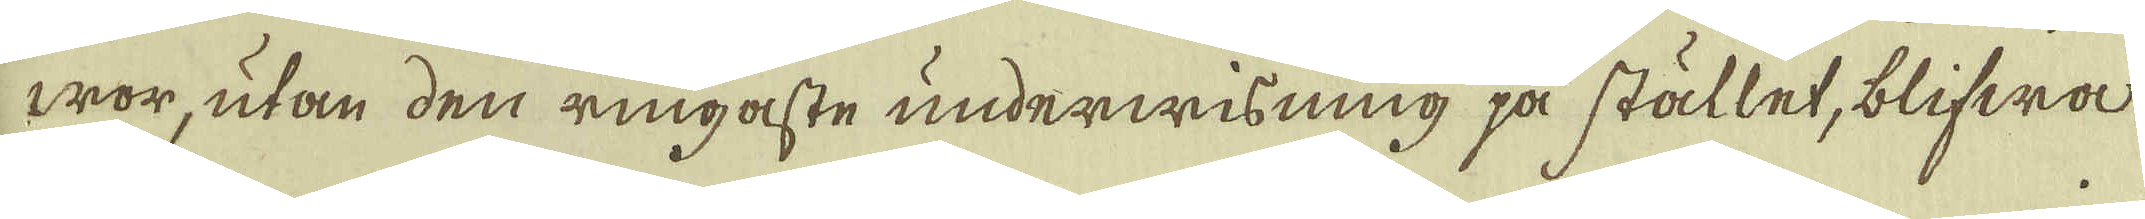wor, utan den ringaste underwisning på stället, blifwa
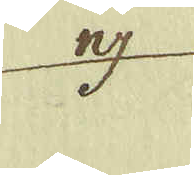ej
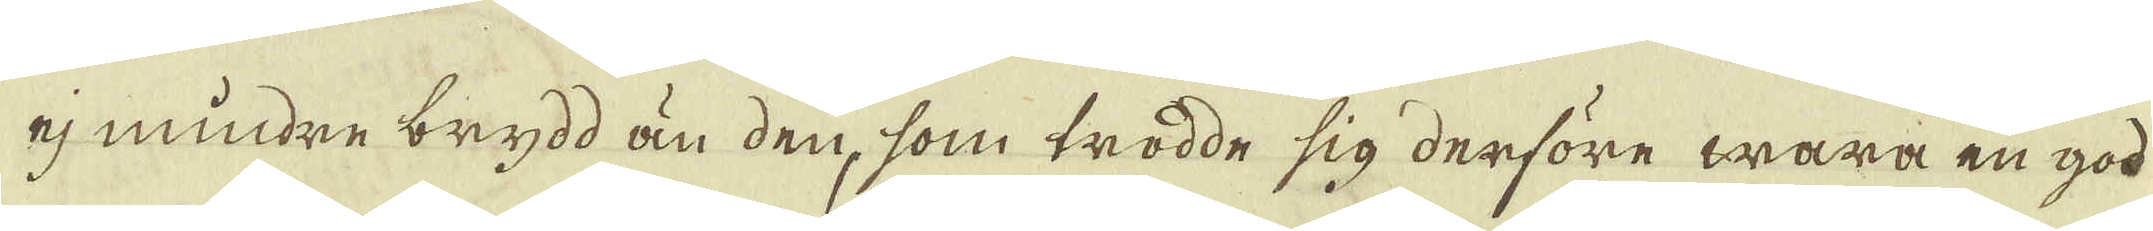ej mindre brydd än den, som trodde sig derföre wara en god
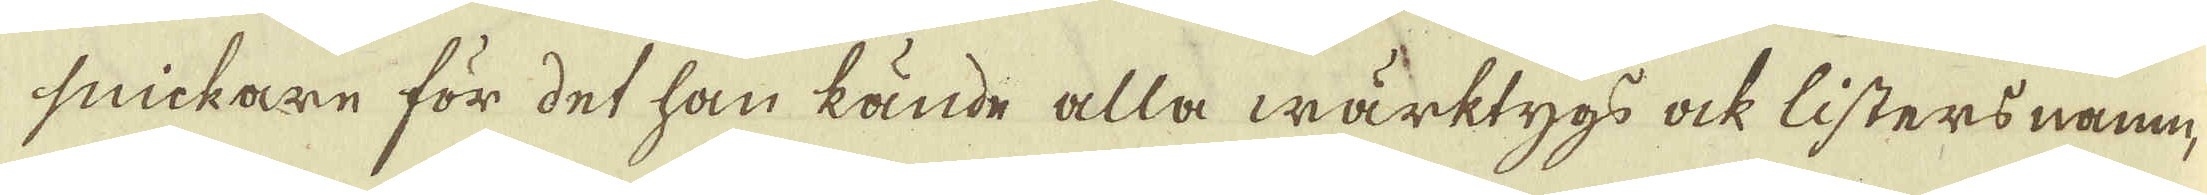snickare för det han kände alla wärktygs ock listers namn
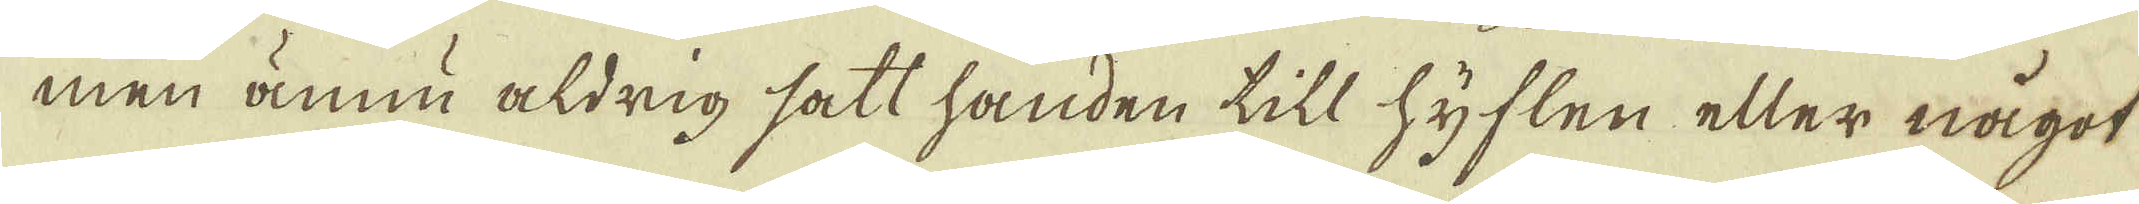men ännu aldrig satt handen till hyflen eller något
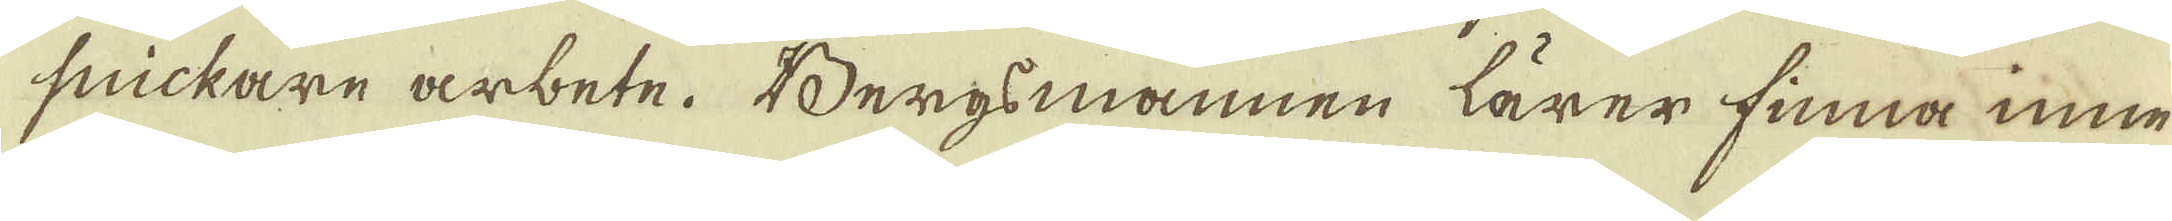snickare arbete. Bergsmannen lärer finna inne
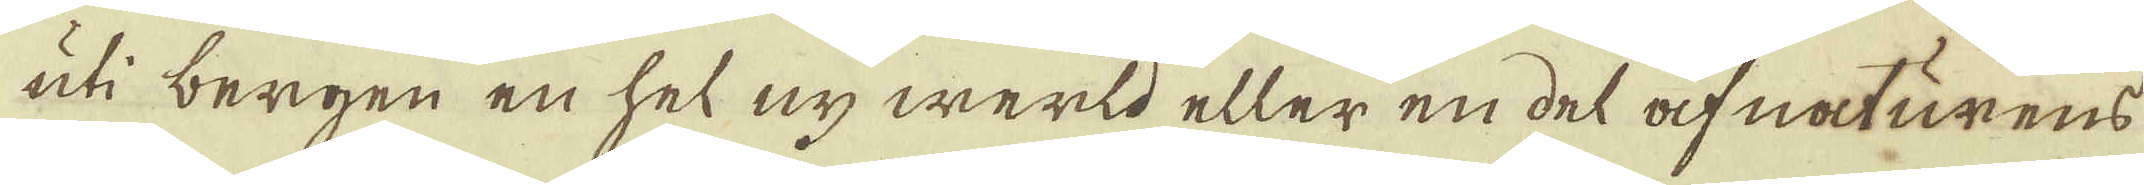uti bergen en hel ny werld eller en del af naturens
